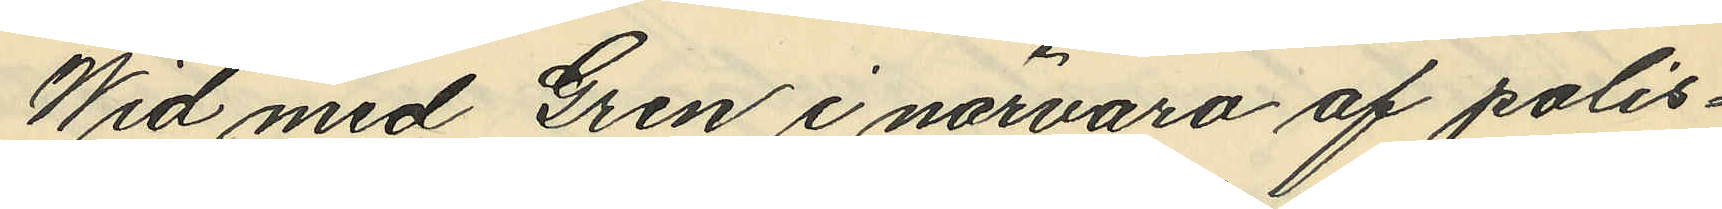Wid med Gren i närvaro af polis¬
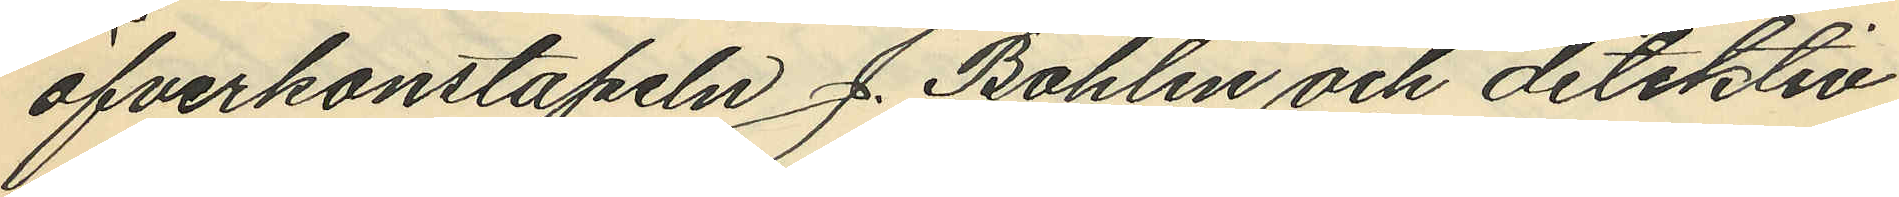öfverkonstapeln J. Bohlin och detektiv¬
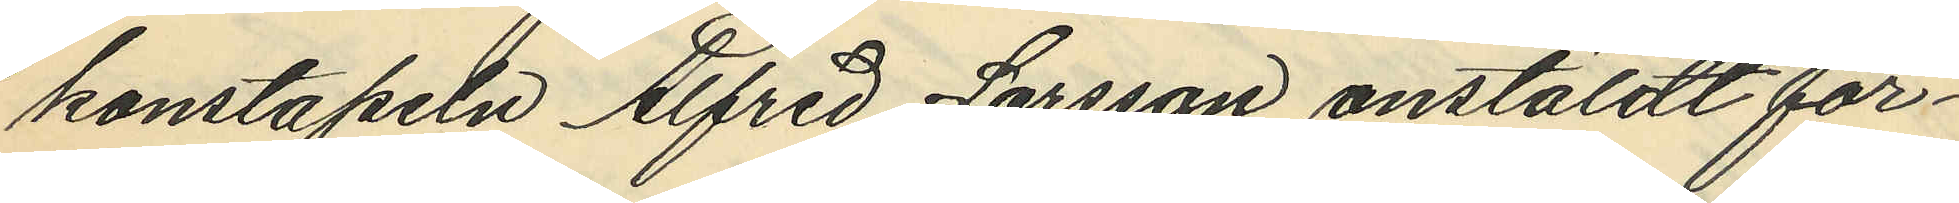konstapeln Alfred Larsson anstäldt för¬
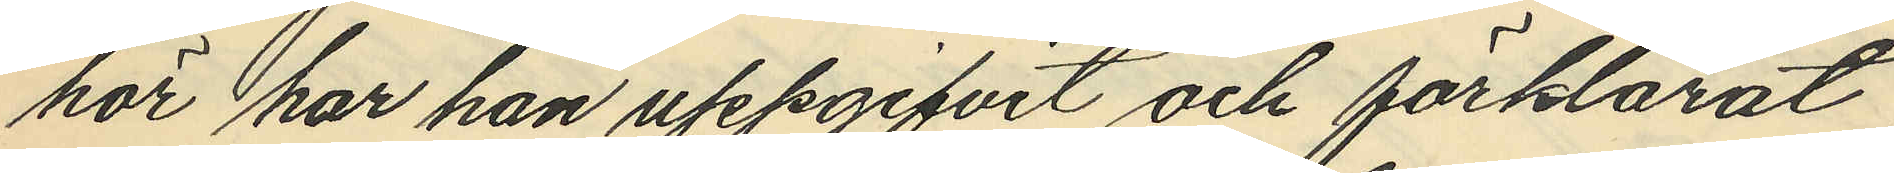hör har han uppgifvit och förklarat,
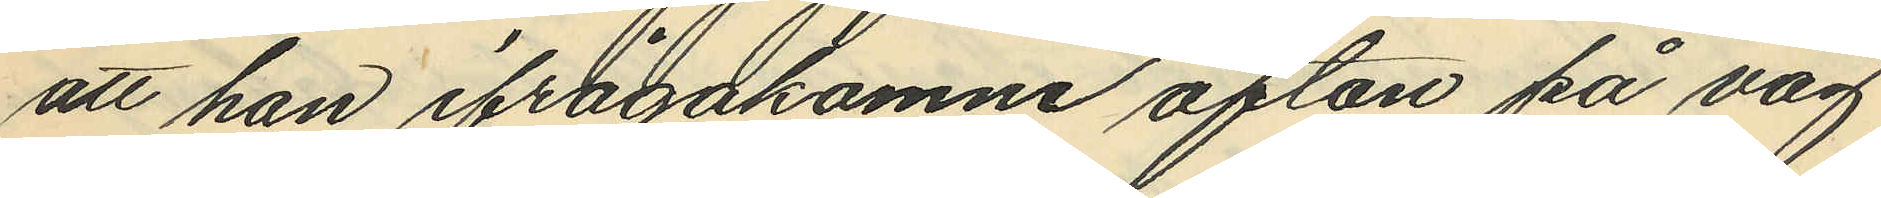att han ifrågakomne afton på väg
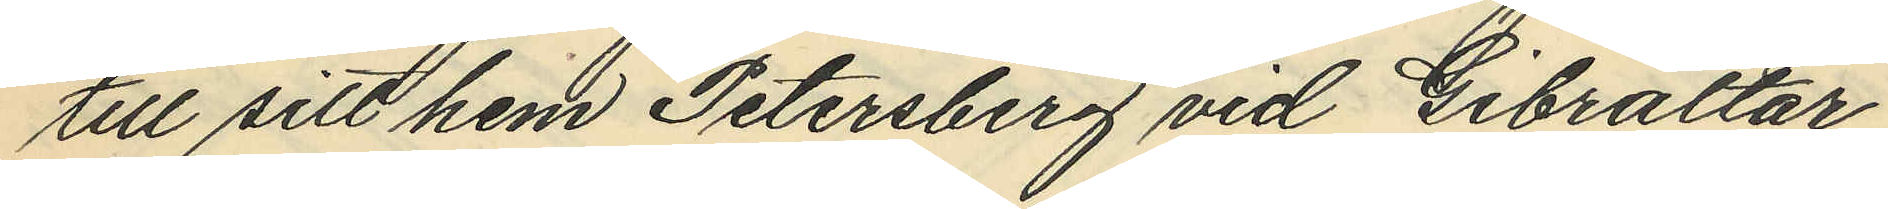till sitt hem Petersberg vid Gibraltar
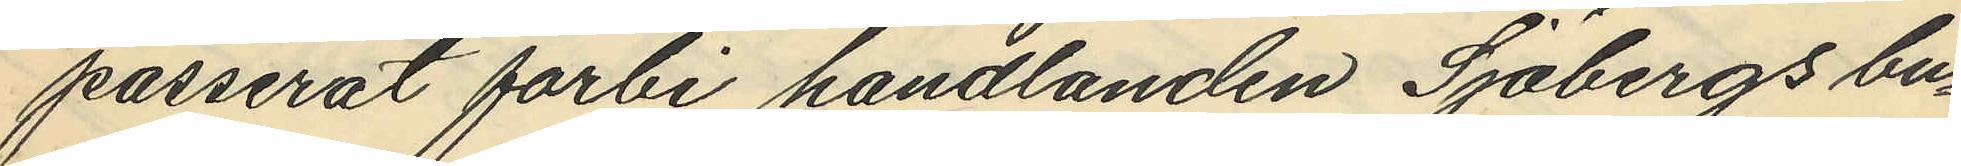passerat forbi handlanden Sjöbergs bu¬
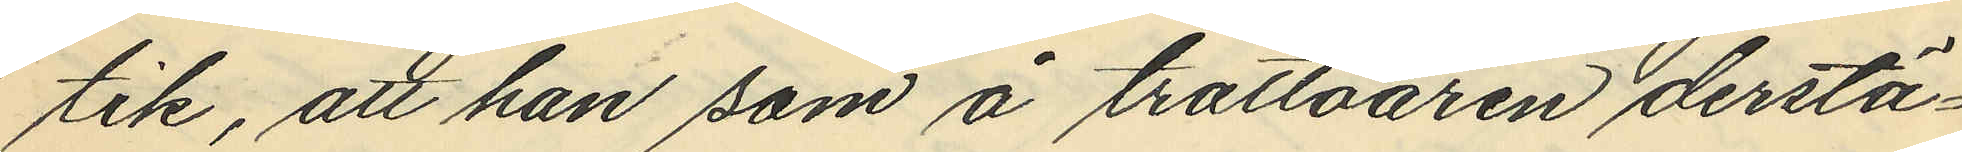tik, att han som å trottoaren derstä¬
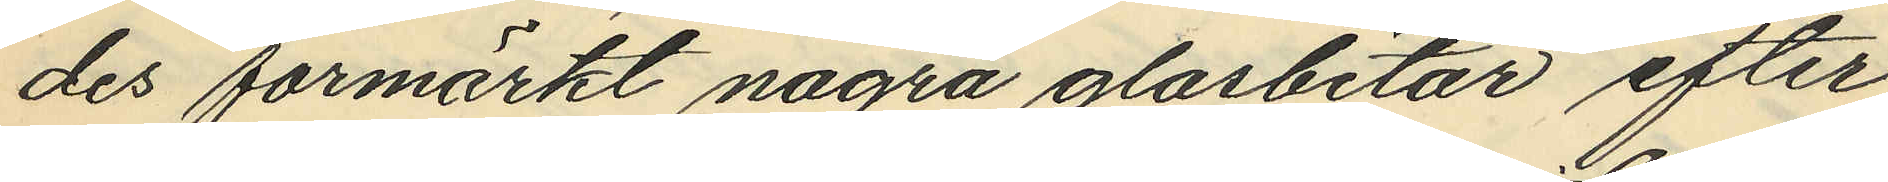des förmärkt några glasbitar efter
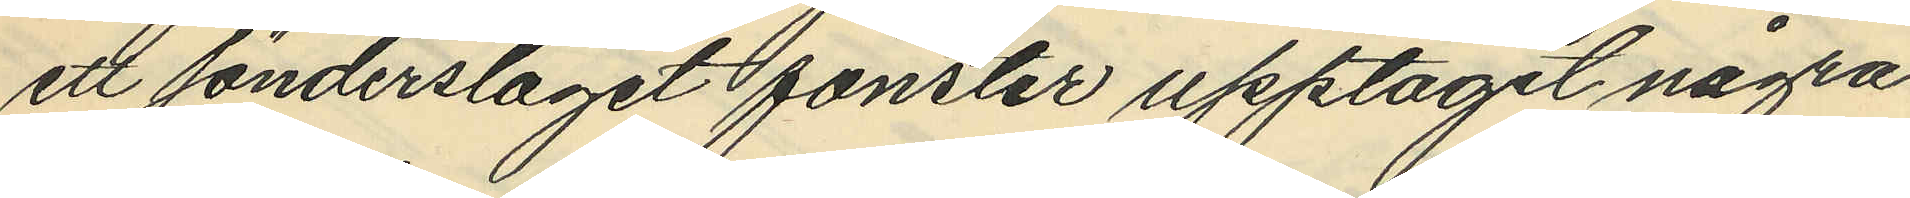ett sönderslagit fönster upptagit några
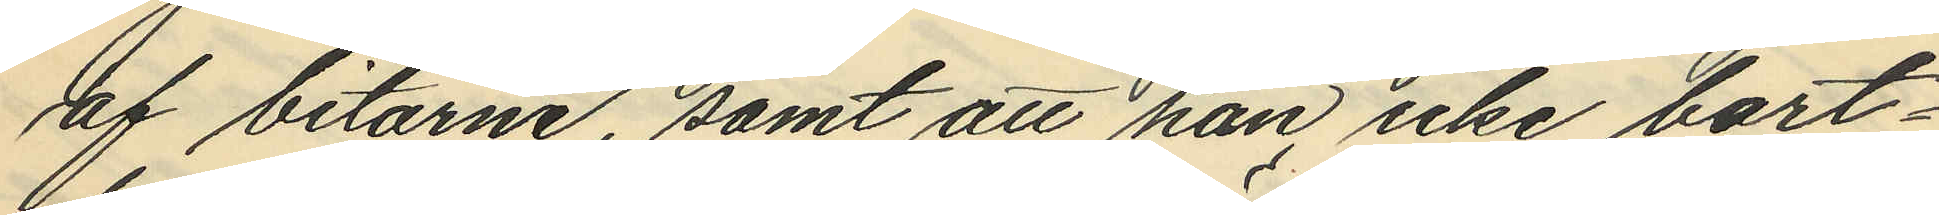af bitarne, samt att han, icke bort¬
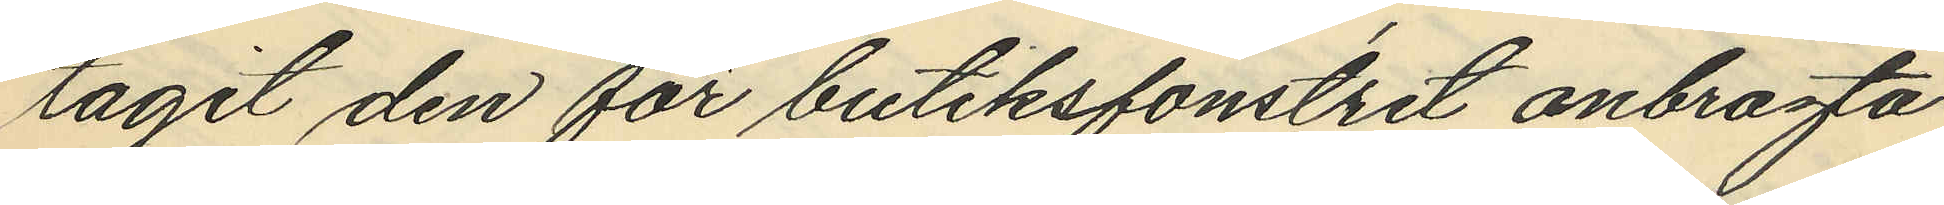tagit den för butiksfönstret anbragta
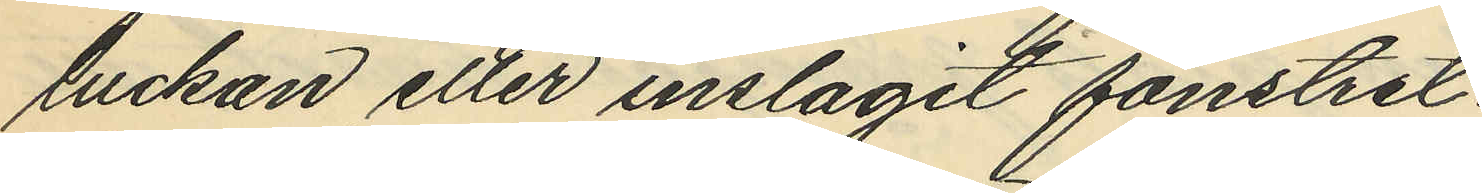luckan eller inslagit fönstret.
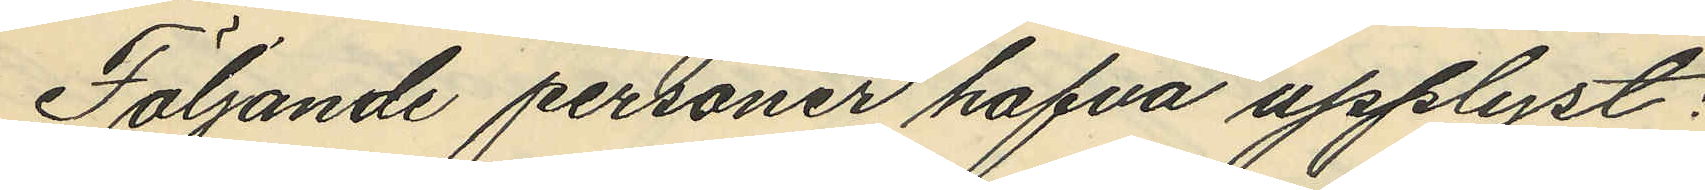Följande personer hafva upplyst:
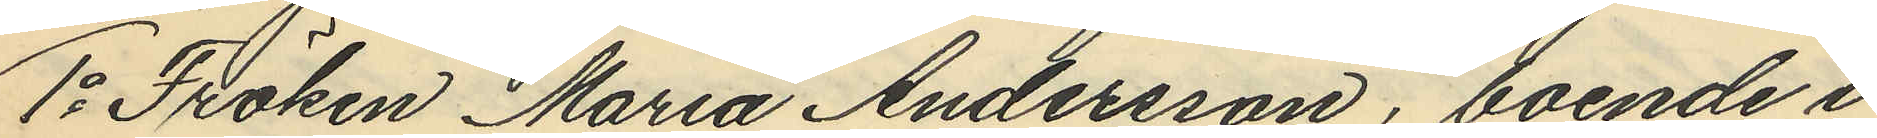1o Fröken Maria Andersson, boende i
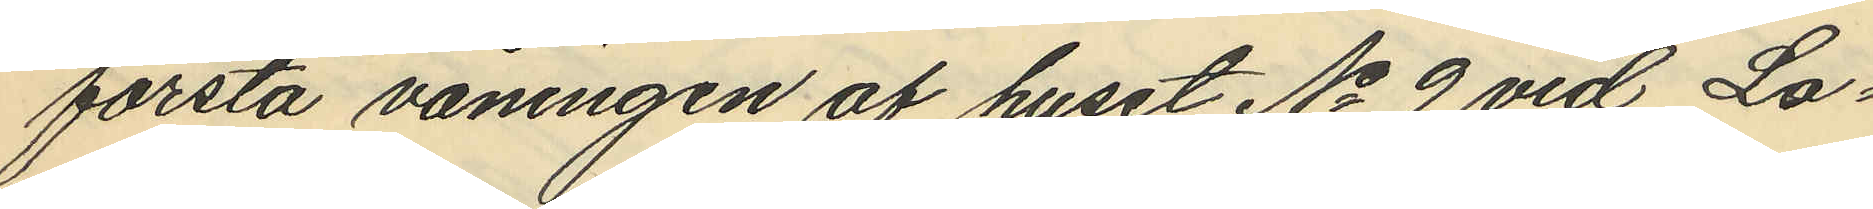första våningen af huset No 9 vid Lo¬
